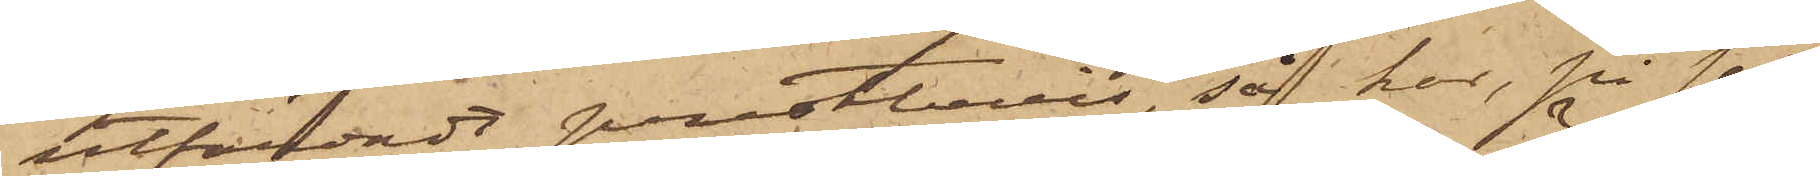utfärdadt prestbevis, så har, på sätt
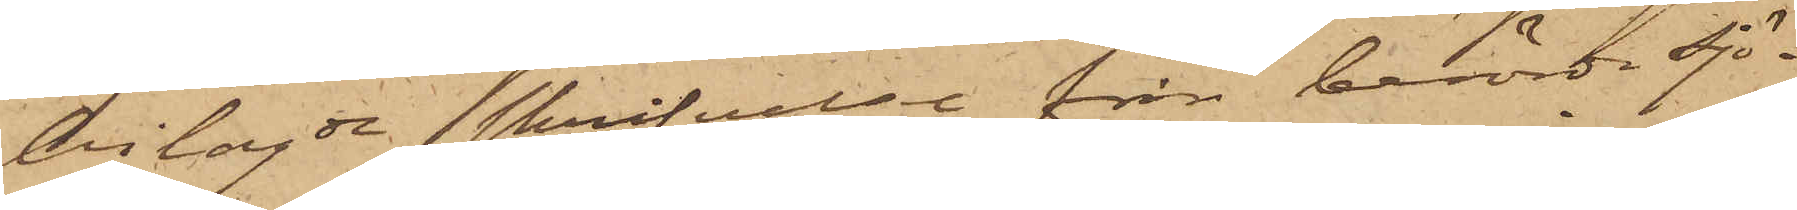bilagde skrifvelse från berörde Sjö¬
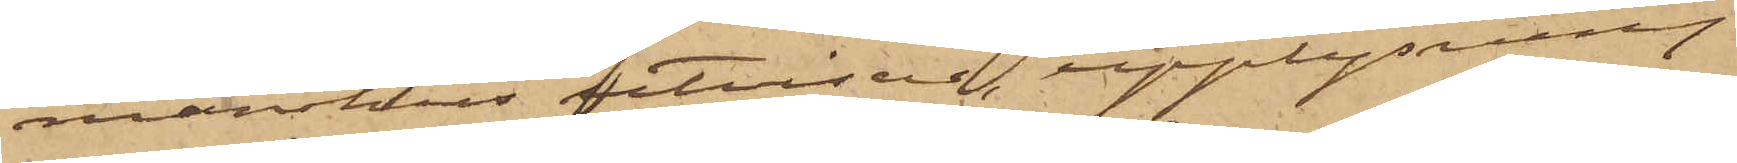manshus utvisar, upplysning
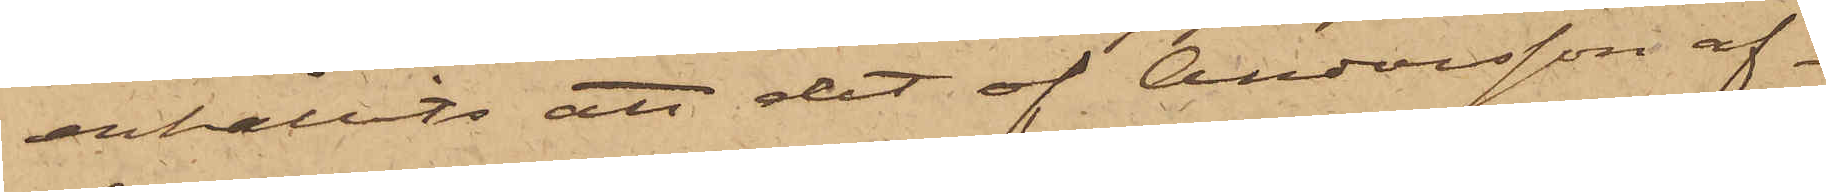erhållits att det af Andersson af¬
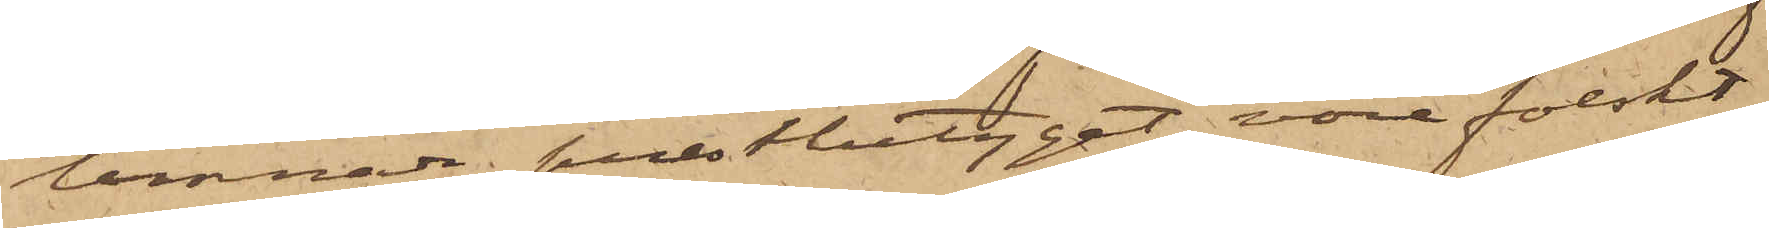lemnade prestbetyget vore falskt.
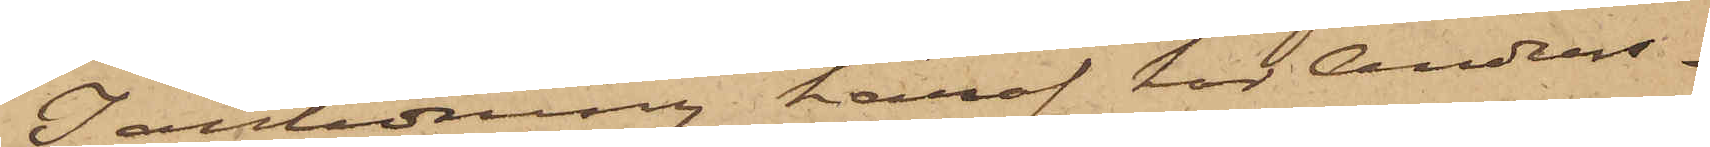I anledning häraf har Anders¬
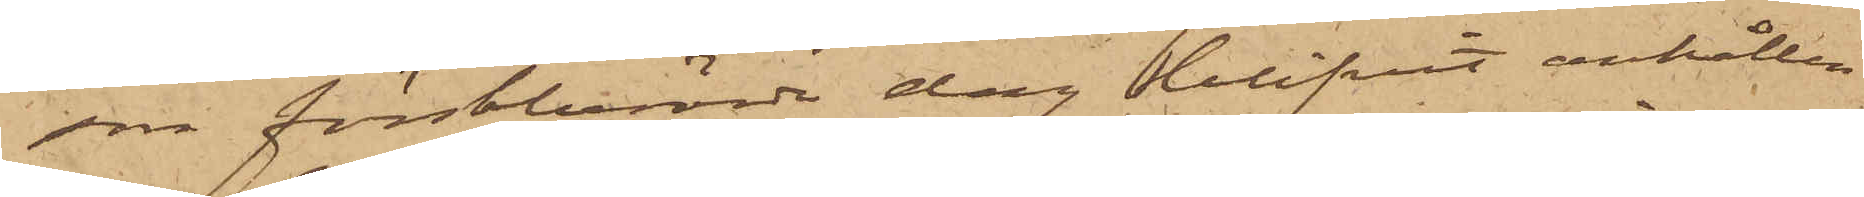son förstberörde dag blifvit anhållen
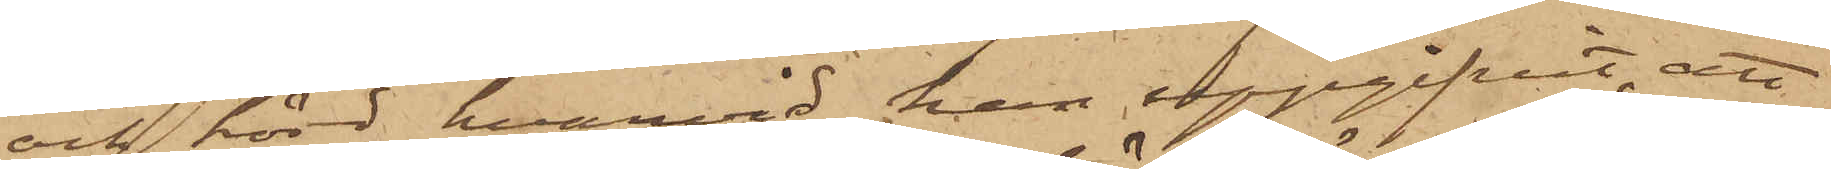och hörd, hvarvid han uppgifvit, att
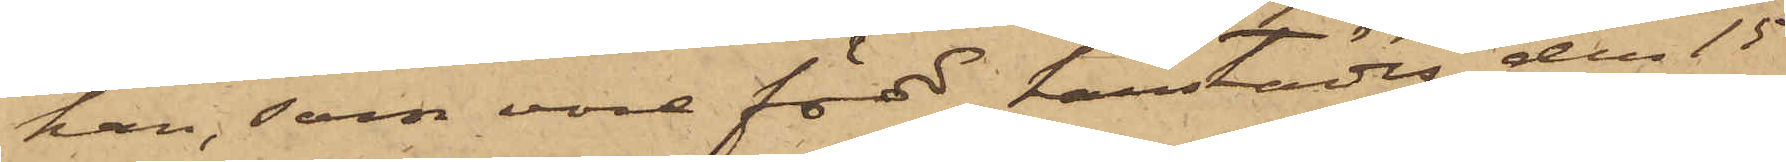han, som vore född härstädes den 15
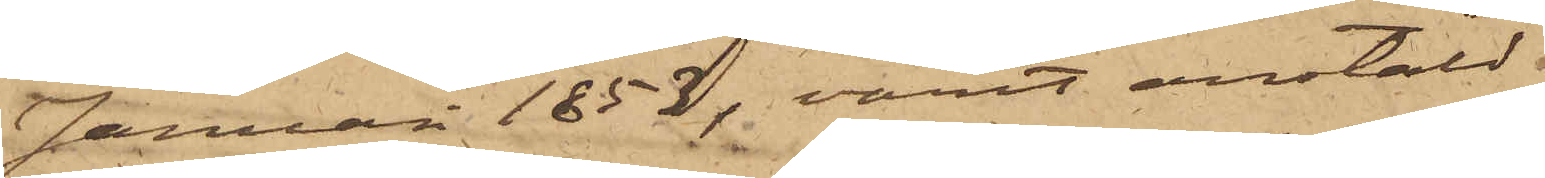Januari 1852, varit anstäld
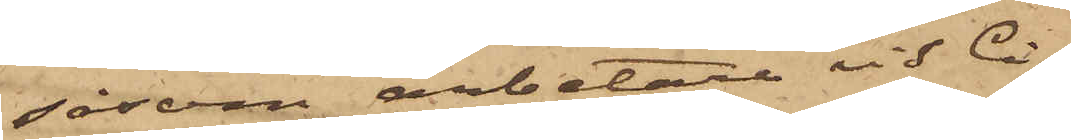såsom arbetare vid Ci¬
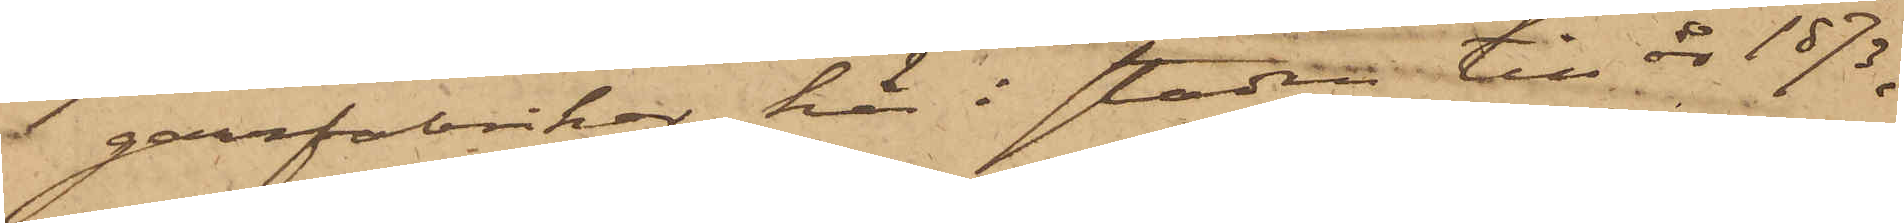garrfabriker här i staden till år 1873,
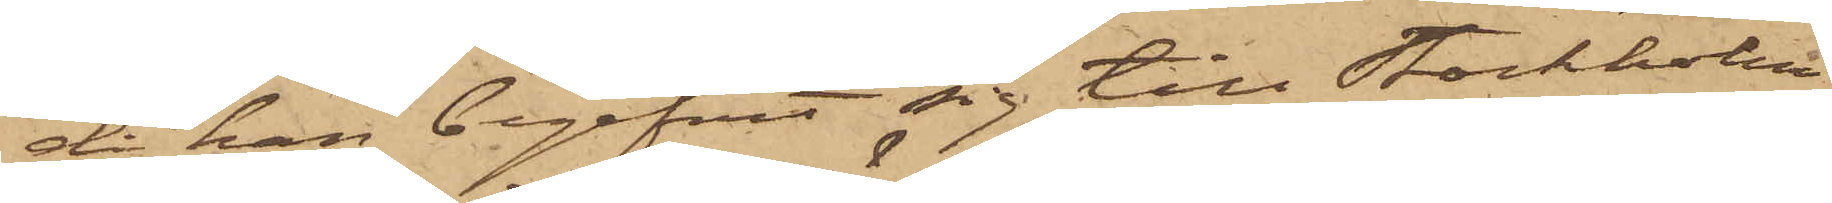då han begifvit sig till Stockholm
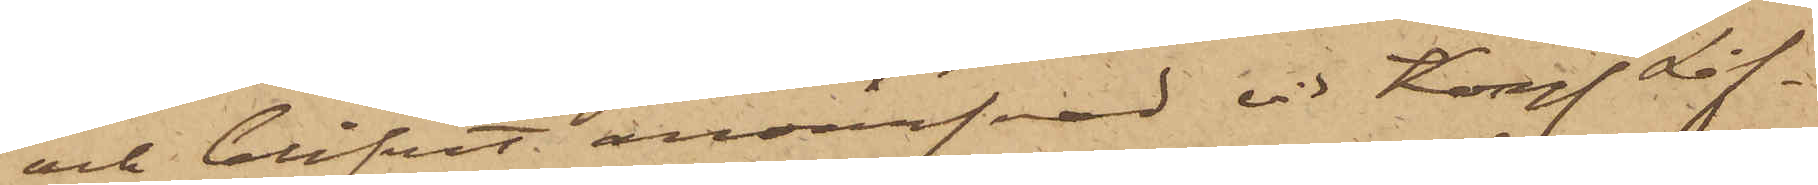och blifvit anvärfvad vid Kongl Lif¬
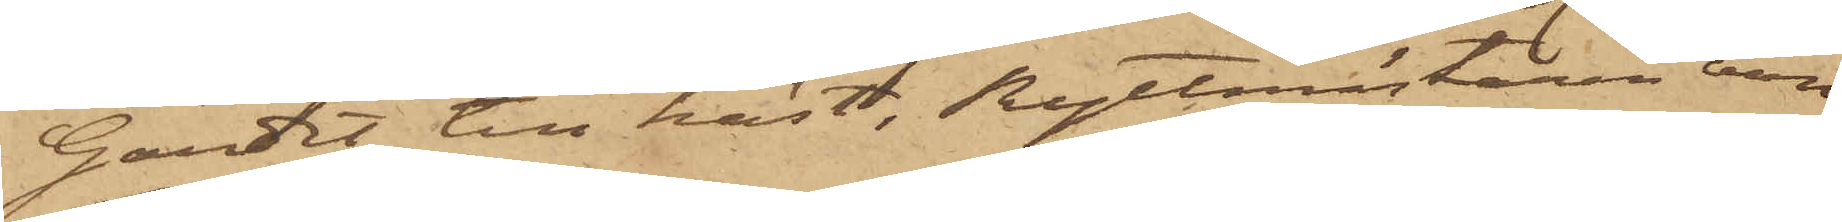Gardet till häst, Ryttmästaren von
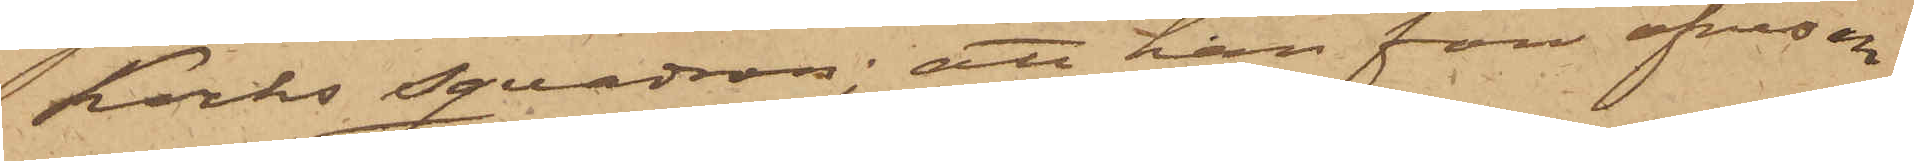Kocks squadron; att han före afresan
